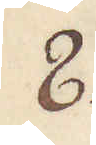8.
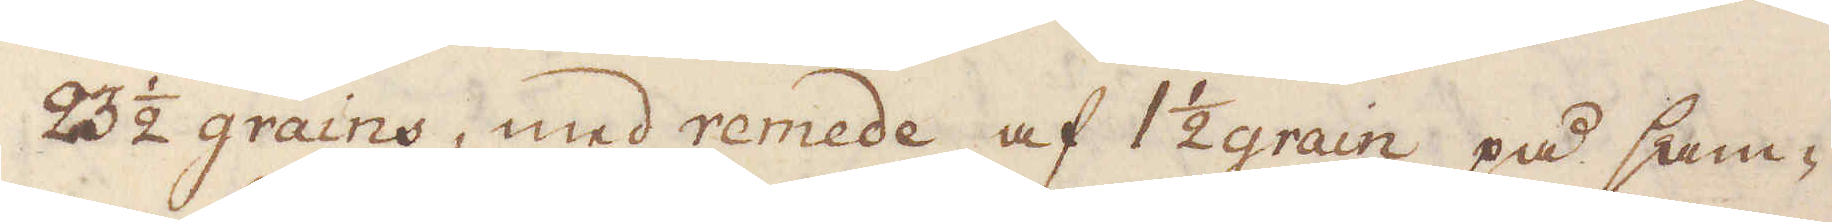23 1/2 grains, med remede af 1 1/2 grain på sam-
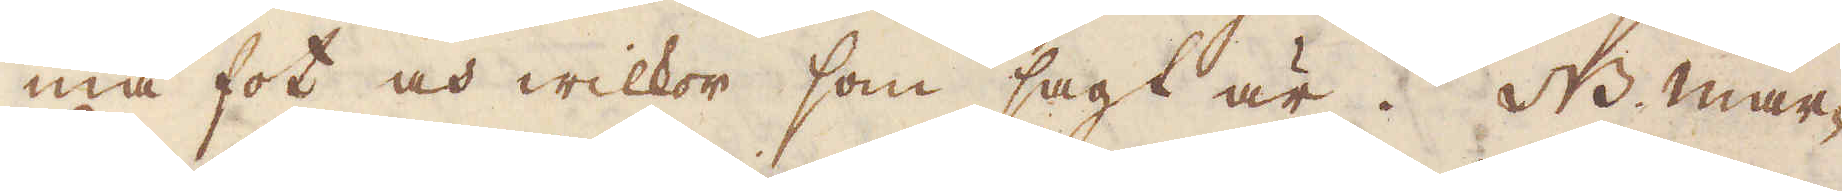ma fot och wilkor som sagt är. NB. mar-
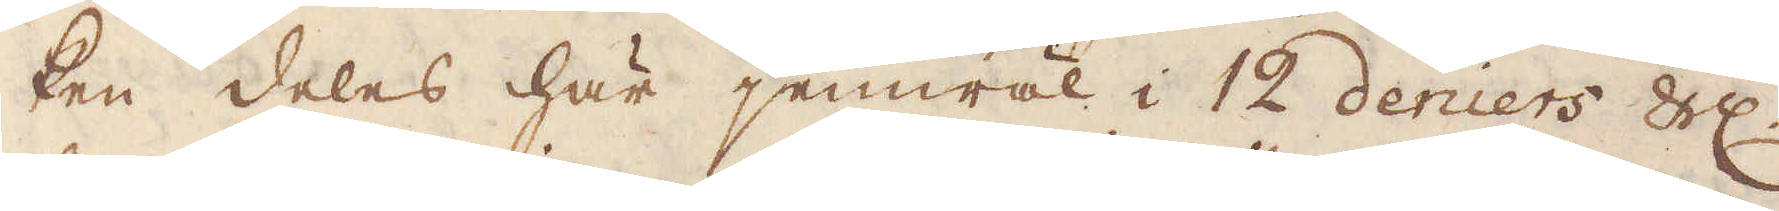ken deles här jemwäl i 12 deniers Sch:
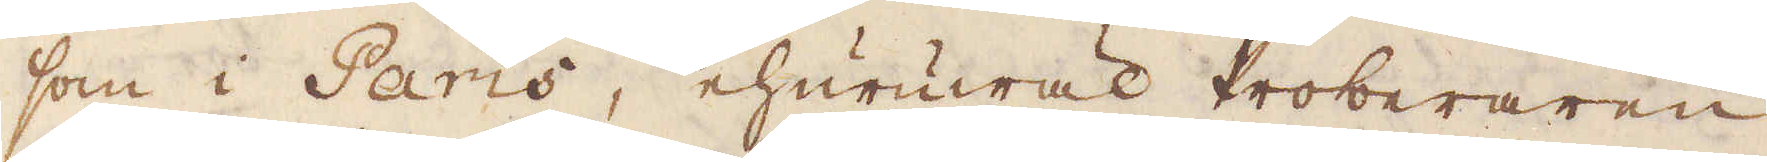som i Paris, ehuruwäl Proberaren
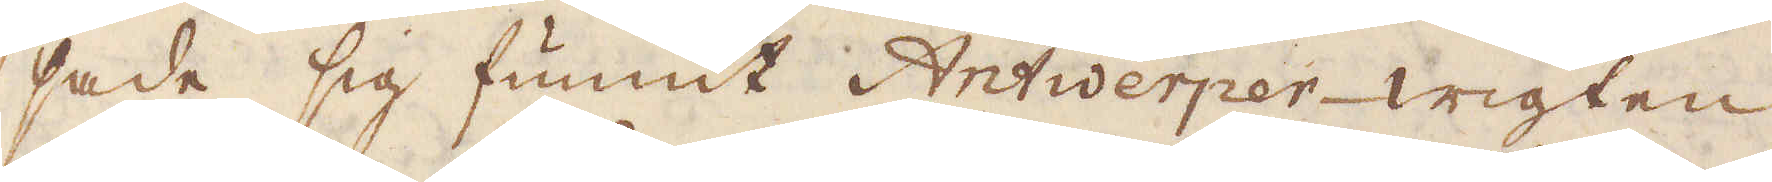sade sig funnit Antwerper-wigten
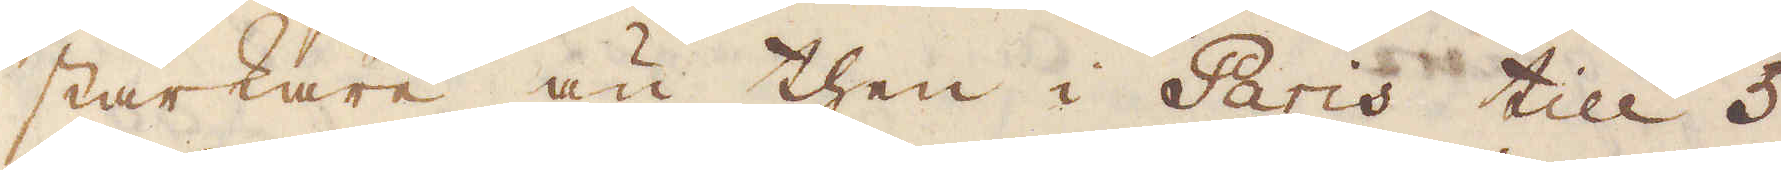starkare än then i Paris till 5
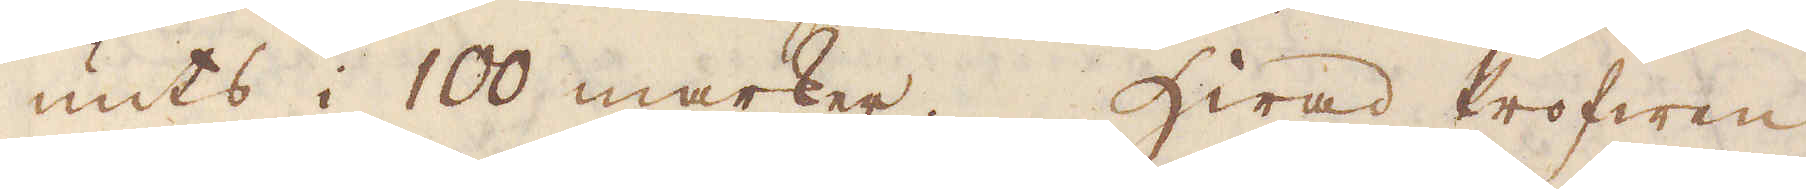unts i 100 marker. Hwad Profwen
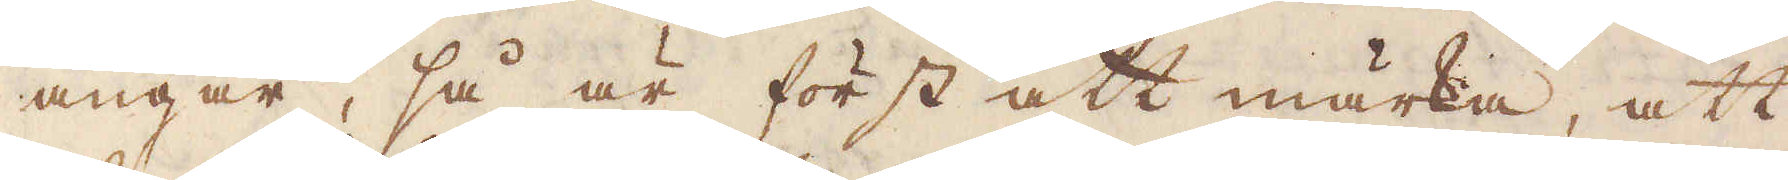angår, så är först att märka, att
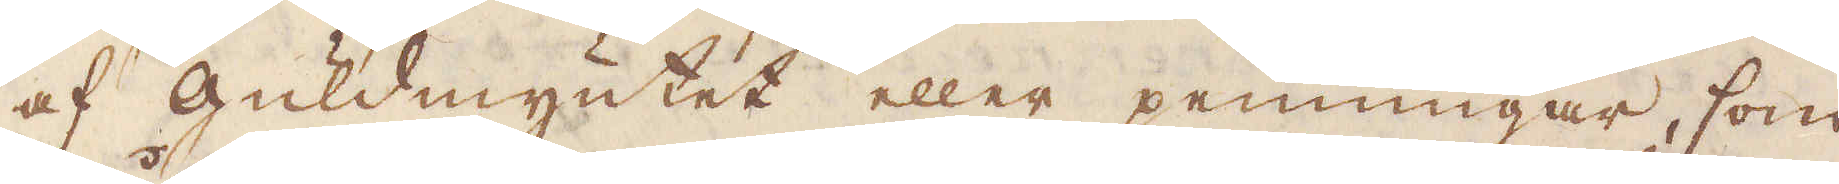af Guldmyntet eller penningar, som
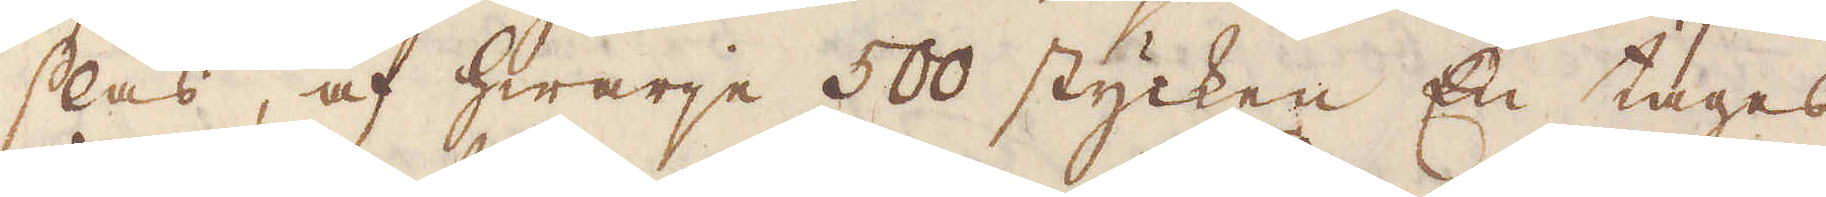slås, af hwarje 500 stycken En tages
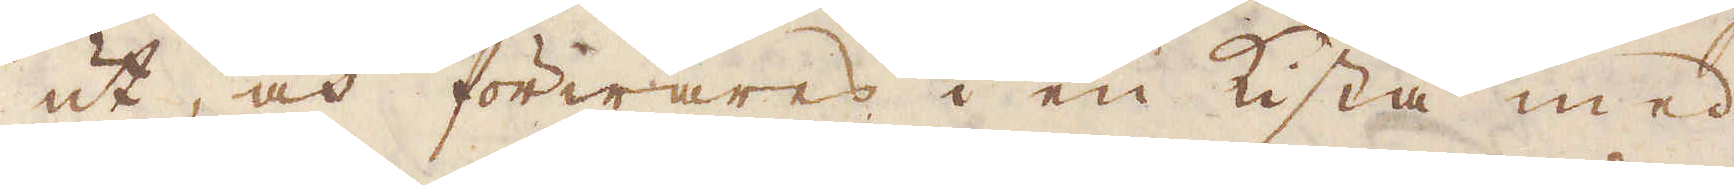ut, och förwares i en kista med
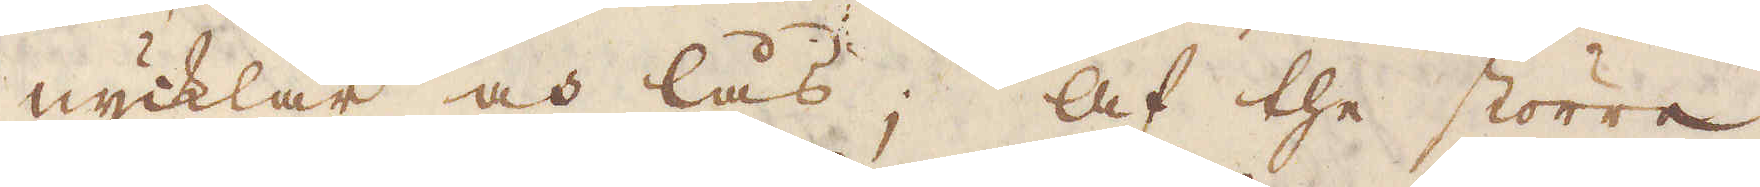nycklar och lås; Af the större
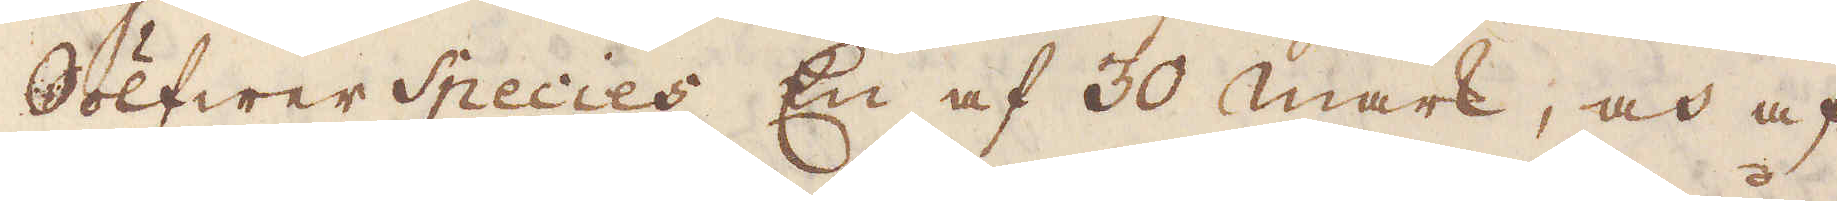Sölfwer Species En af 30 mark, och af
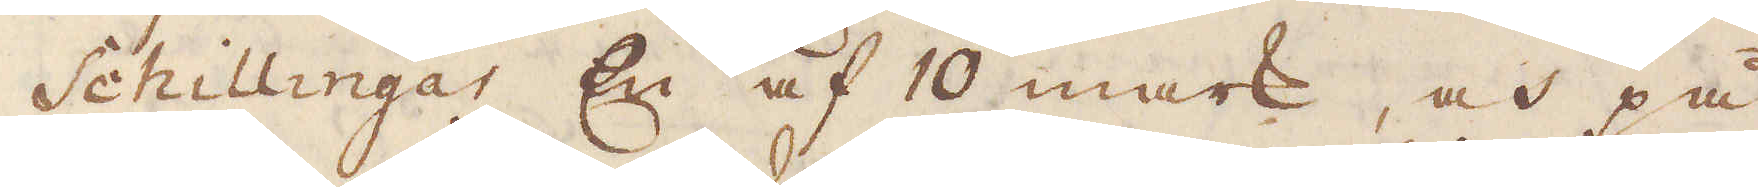Schillingar En af 10 mark, och på
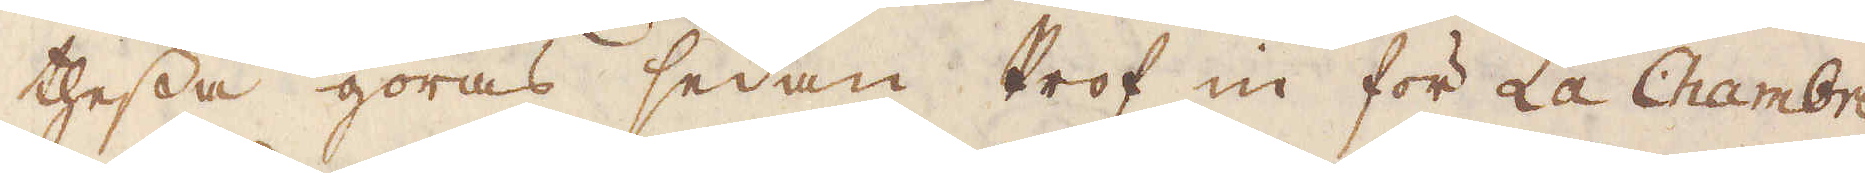thessa göras sedan Prof in för La Chambre
